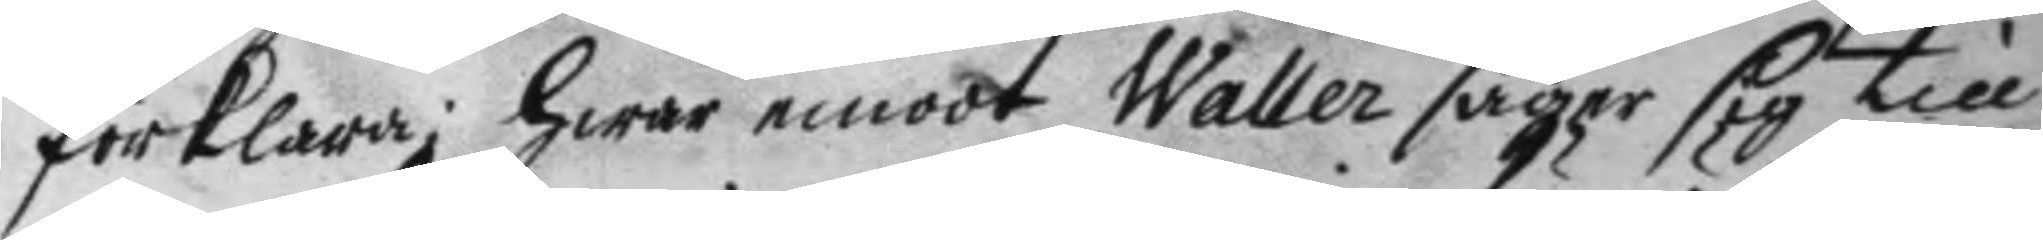förklara; hwar emoot Waller säger sig till
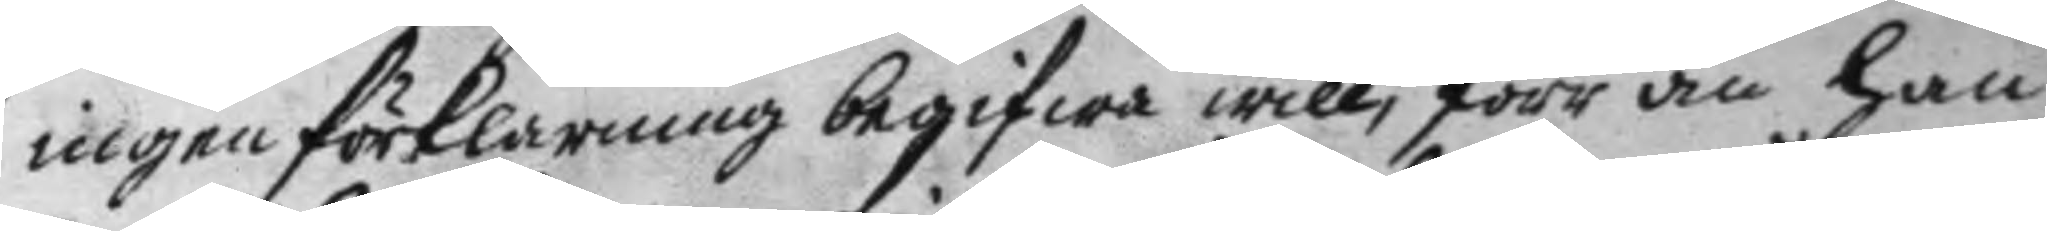ingen förklaring begifwa will, förr än han
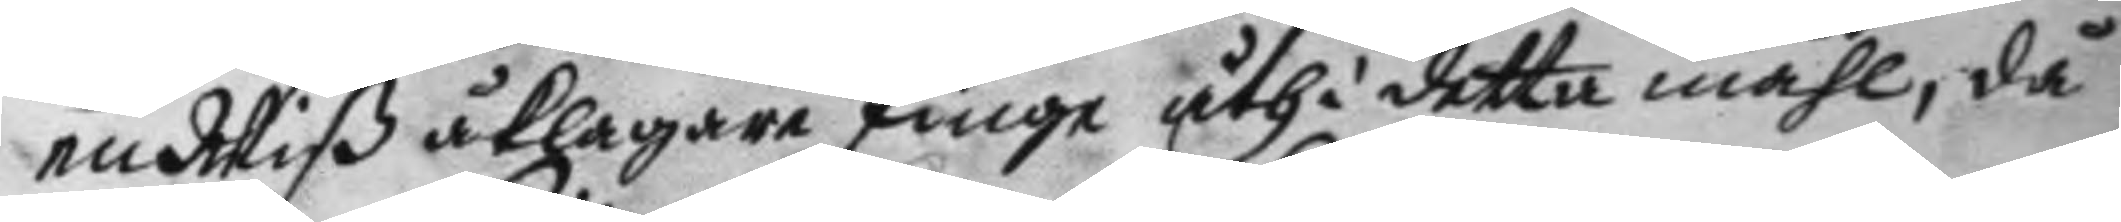en Wiß åklagare finge uthi detta måhl, då
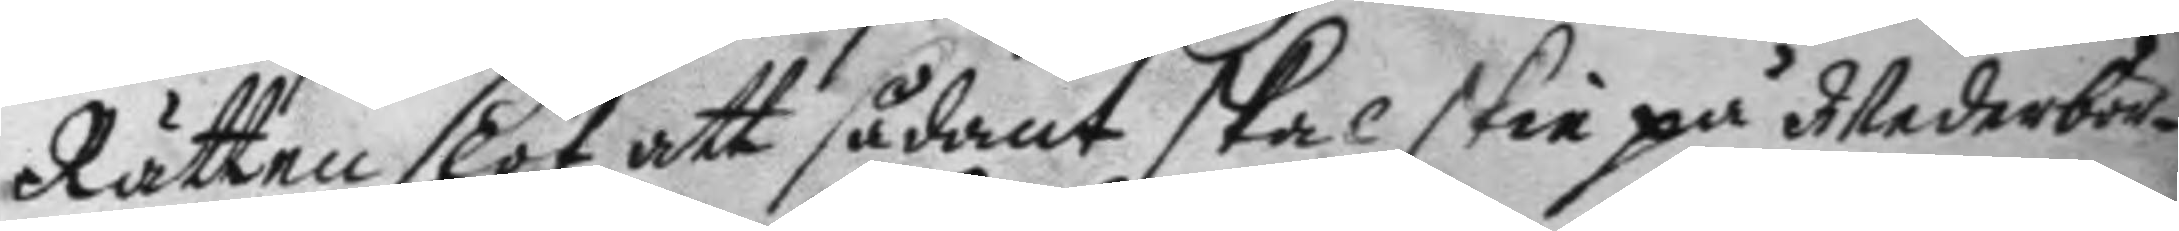Rätten slöt att sådant skal skie på Wederbör¬
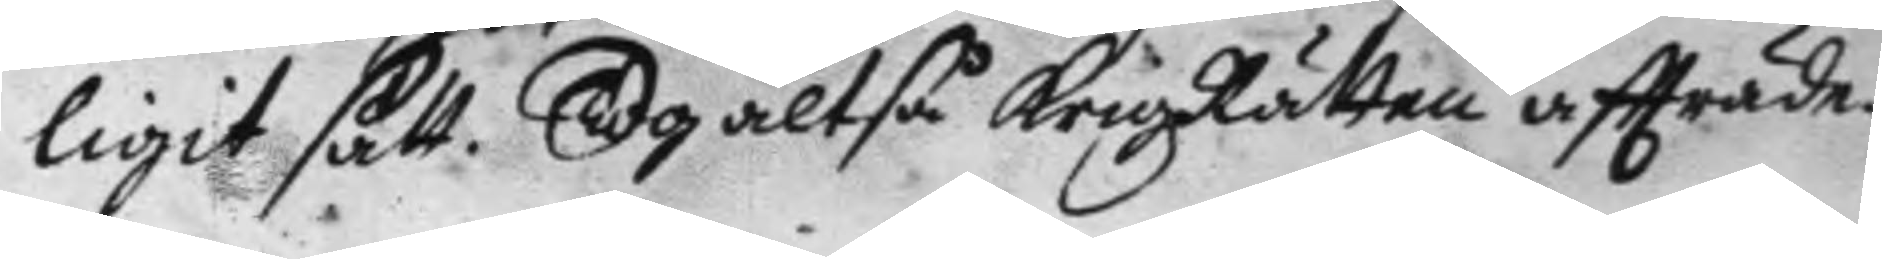ligit sätt.Tog altså KrigzRätten aftträde.
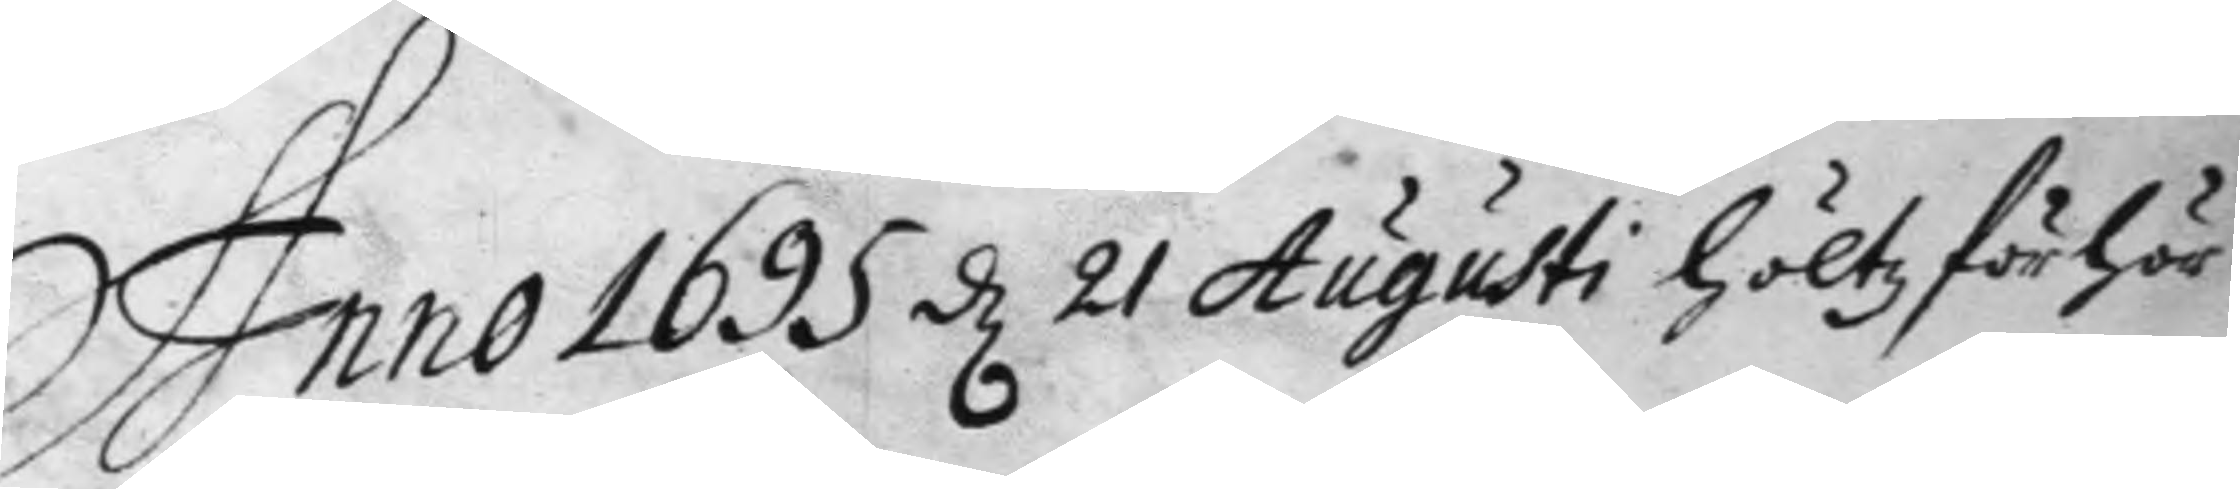Anno 1695 d 21 Augusti hölts förhör
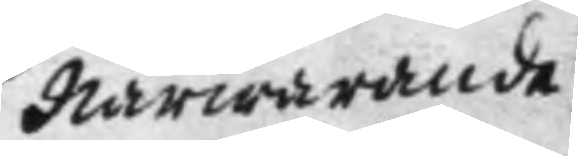närwarande
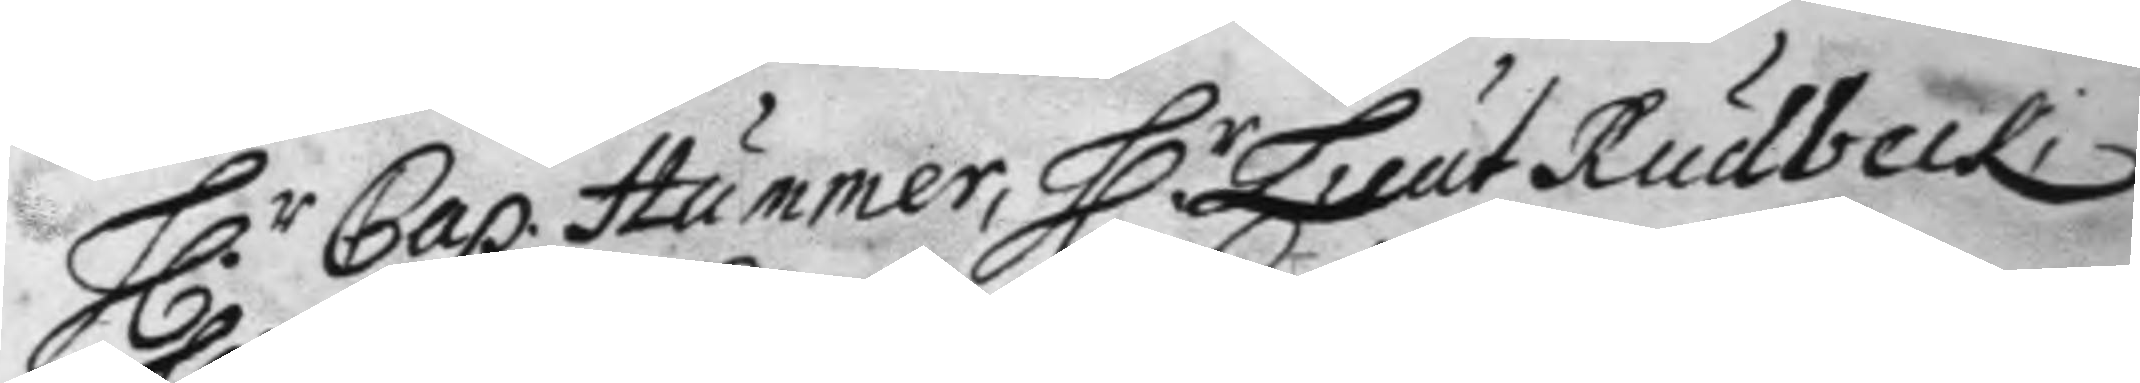H.r Cap. Hummer, H.r Leut Rudbeck,
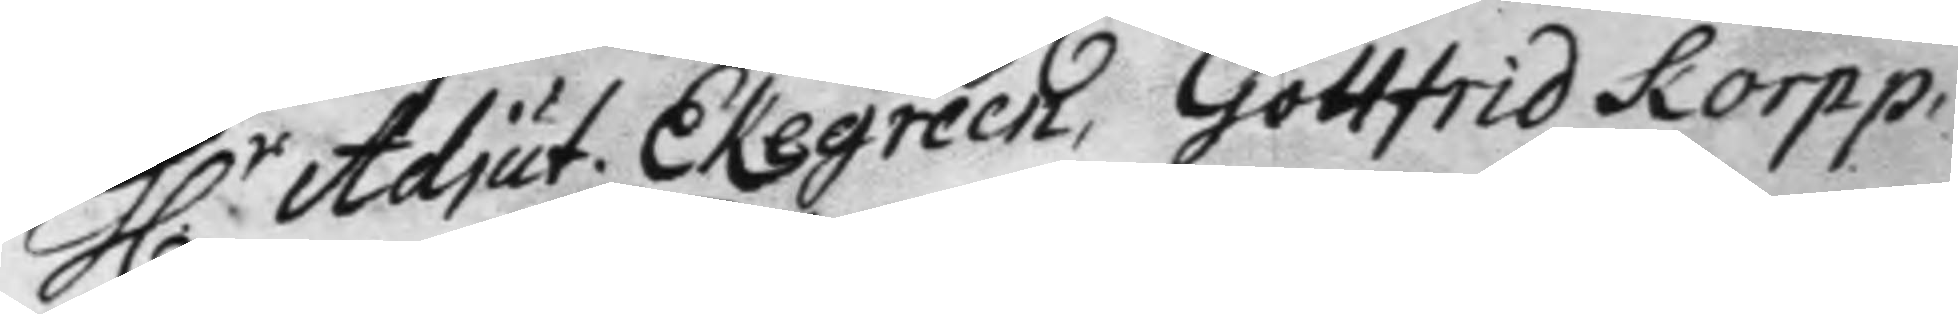H.r Adjut. Ekegreen, Gottfrid Korpp,
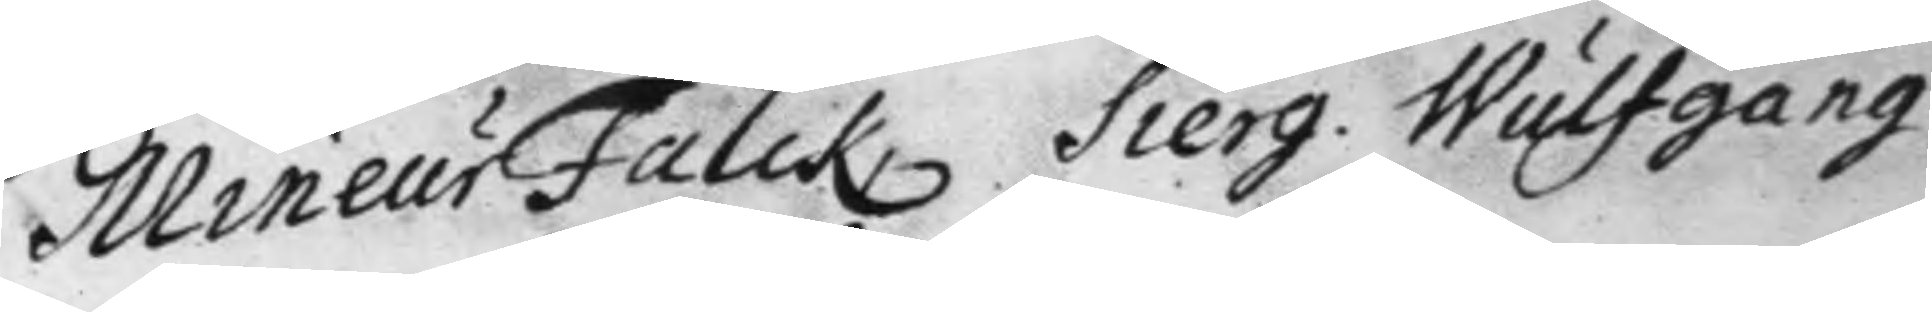Mineur Falck, Sierg. Wulfhgang
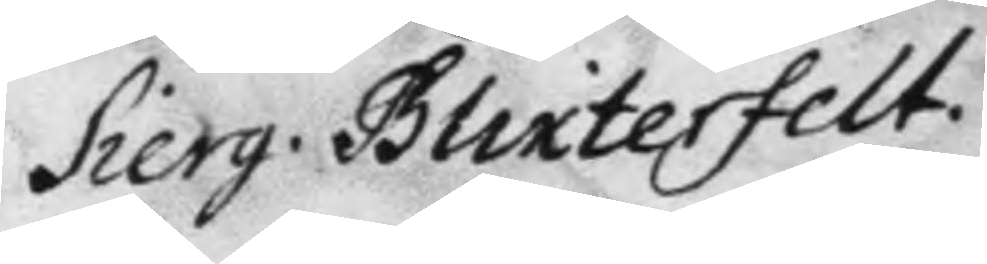Sierg. Blixterfelt.
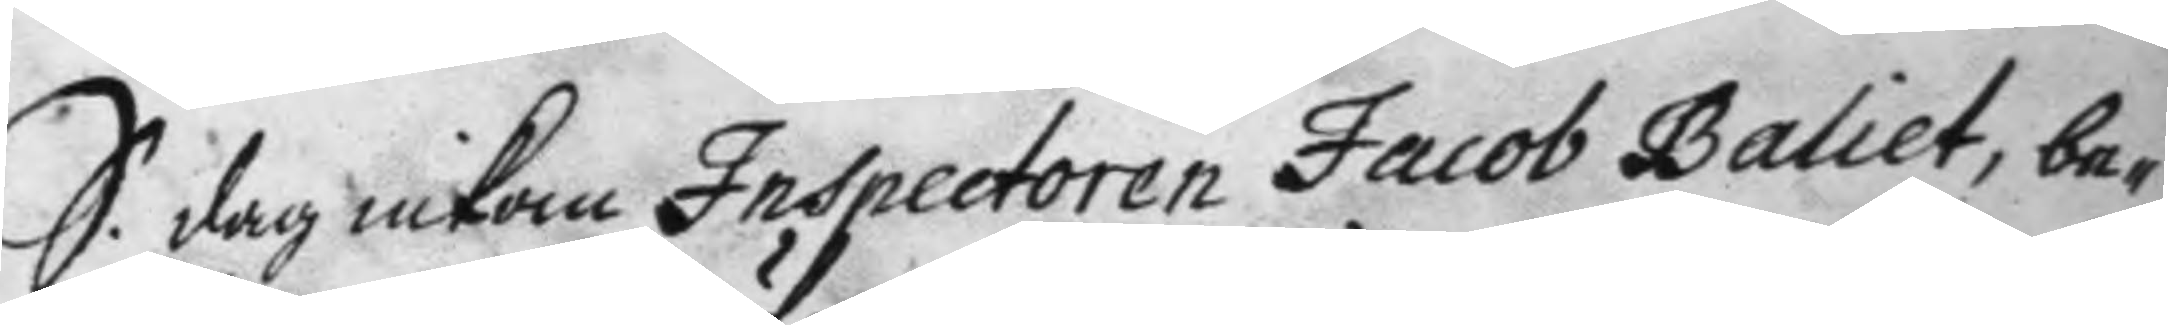S. dag inkom Inspectoren Jacob Baliet, be¬
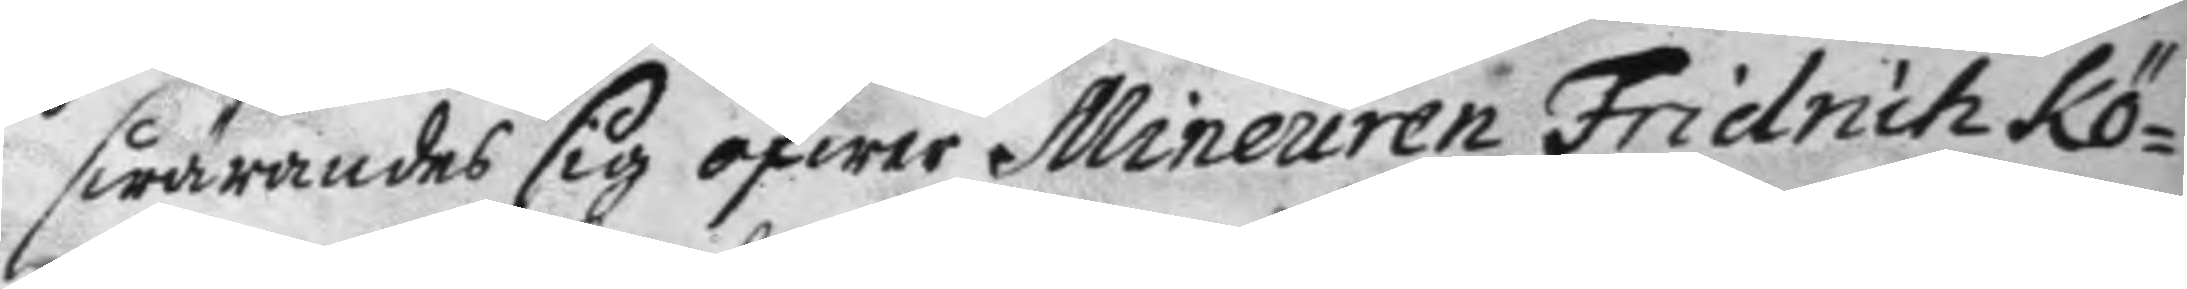swärandes sig öfwer Mineuren Fridrich Kö¬
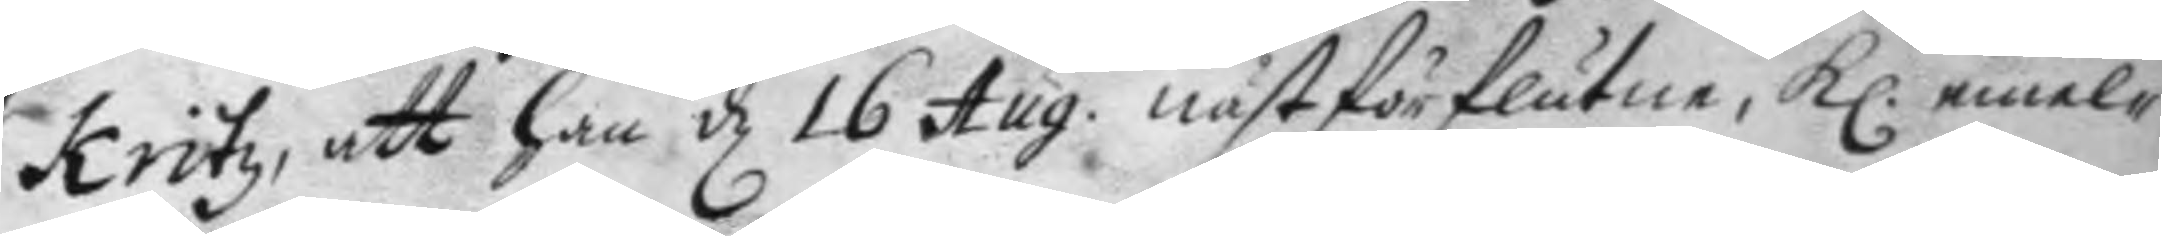kritz, att han d 16 Aug. nästförslutne, kl. emel¬
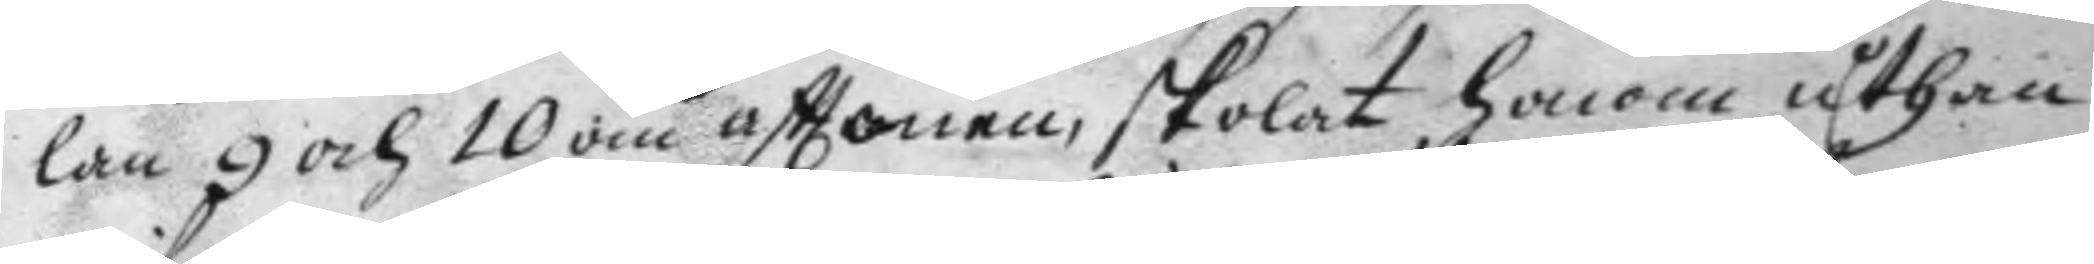lan 9 och 10 om afttonen, skolat honom uthan
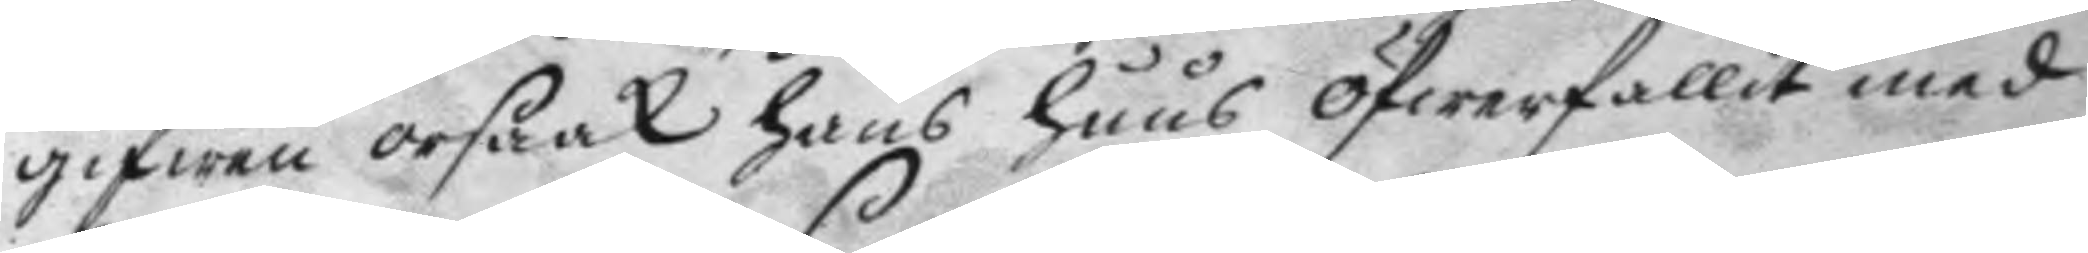gifwen orsaak hans huus öfwerfallit med
